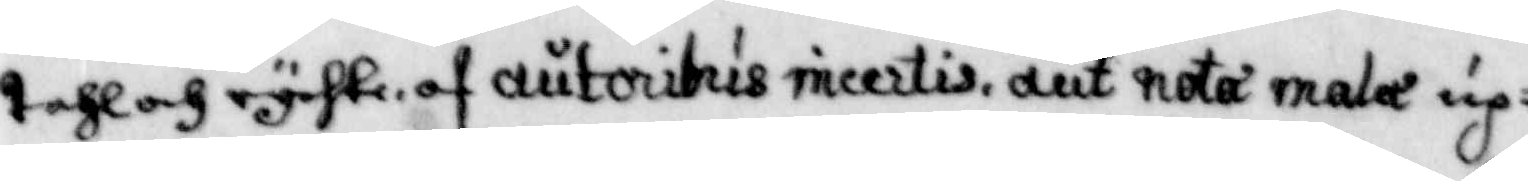tahl och rychte, af autoritris ricertis, dut nota mala up¬
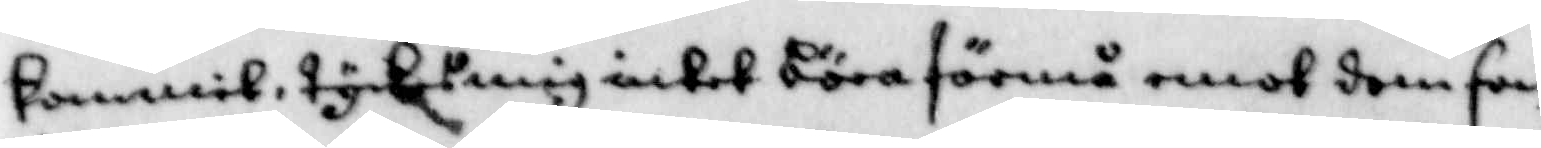kommit, tyckes mig intet böra förmå emot dom som
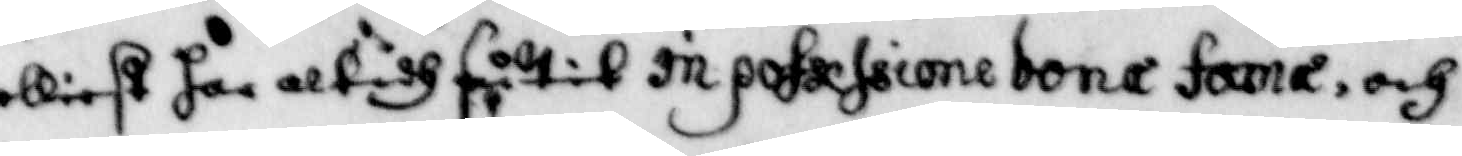elliest har altidh sutit in pofassione bona fama, och
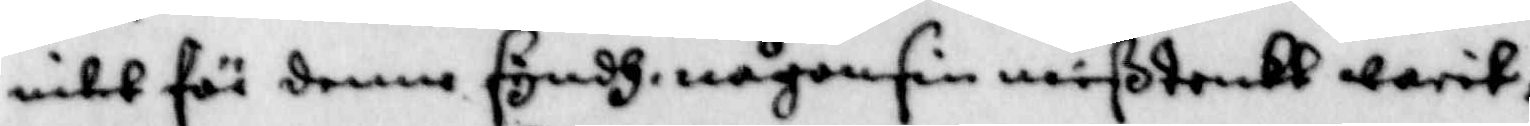intet för denne syndh någonsin mißtenkt warit.
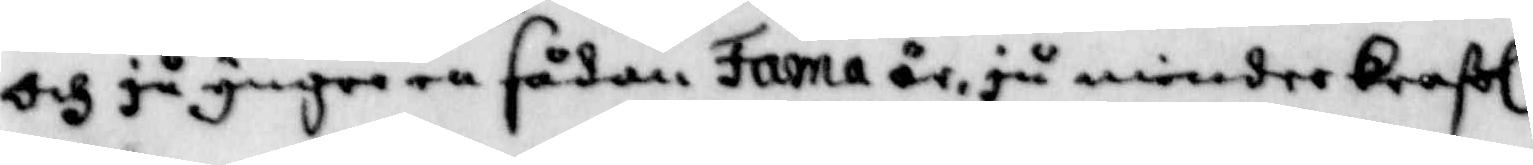och ju yngre en sådan Fama är, ju mindre Kraßl
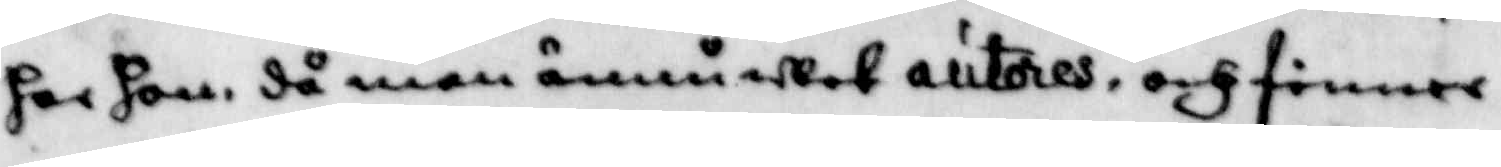har hon, då man ännu wet autores, och finner
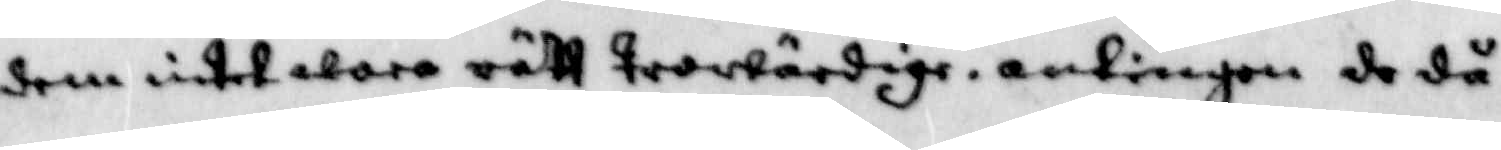dem intet wara rätt trowärdige, antingen de då
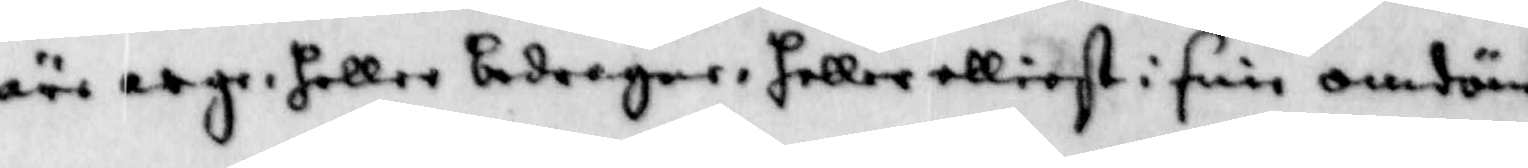äre arge, heller bedrager, heller elliest i sine omdöm¬
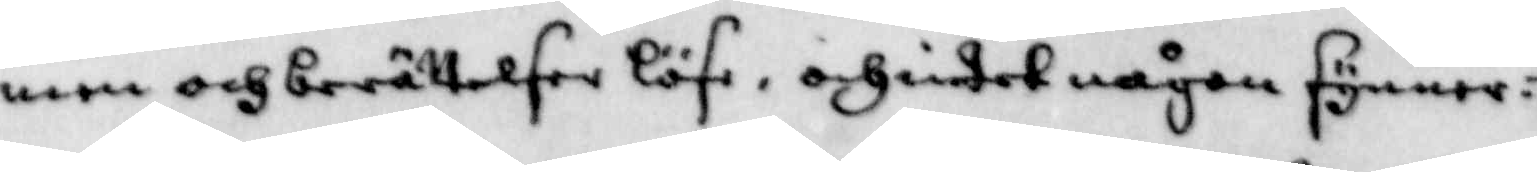men och berättelser löse, och intet någon synner¬
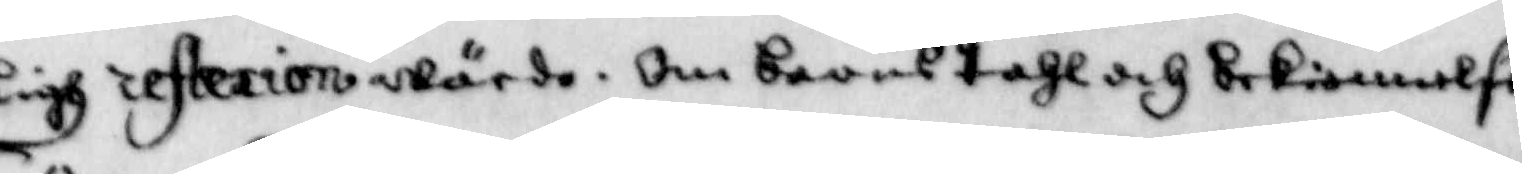ligh reflexion wärde, om barns tahl och bekiennelse
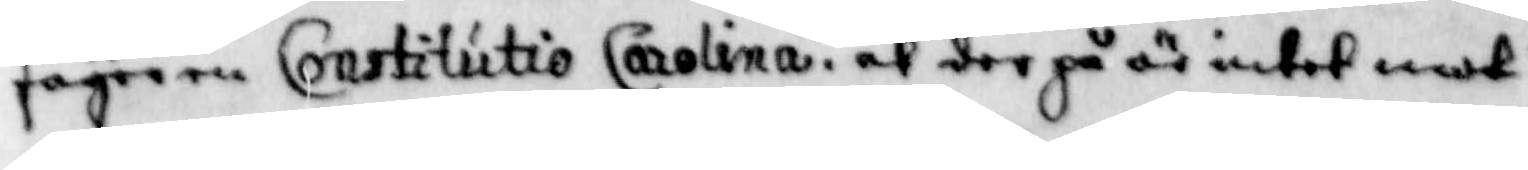säger en Constitutio Carolina, af det på är intet mot
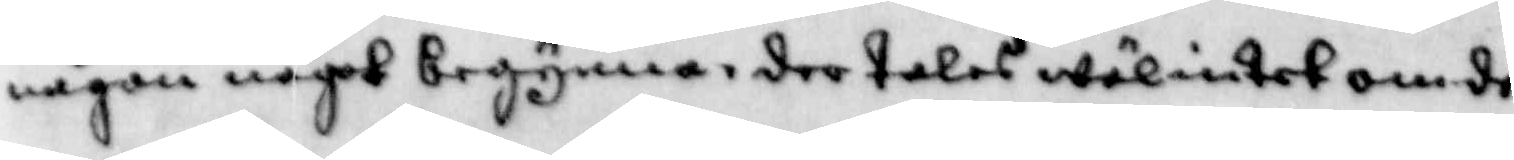någon något begynna, der talas wäl intet om de
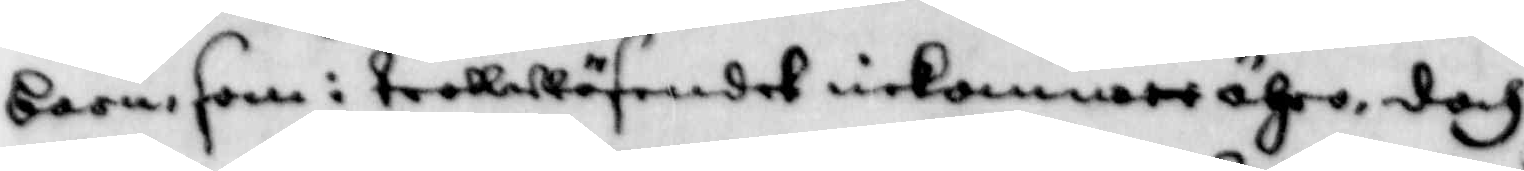barn, som i trollwäsendet inkommett ähro, doch
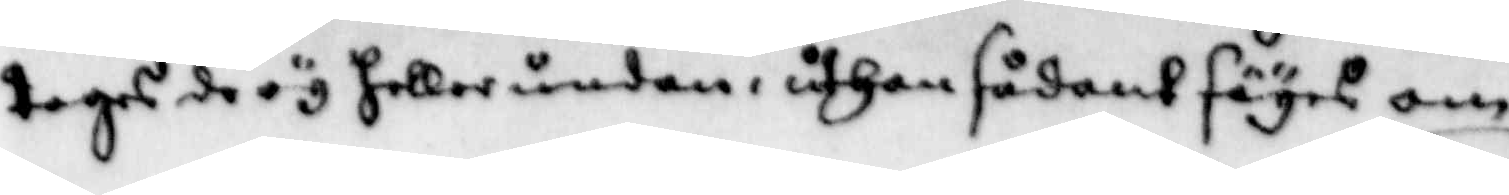tages de ey heller undan, uthan sådant säyes om
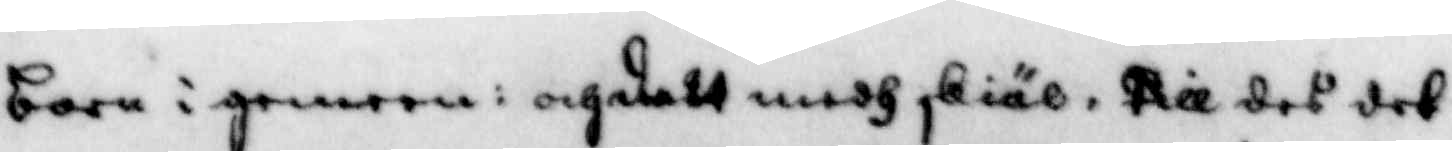barn i genom: och dett medh skiäl, till det det
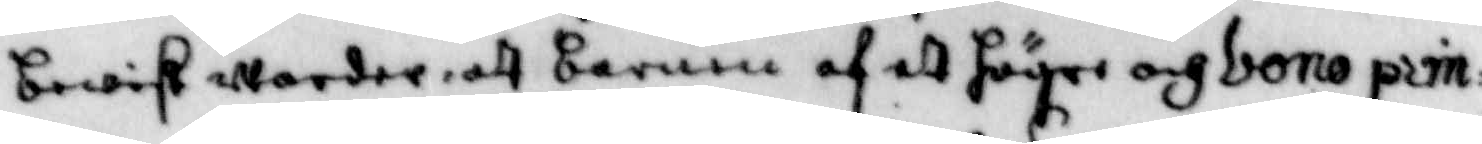bewist warder, att barnen af ett högre och bono prin¬
